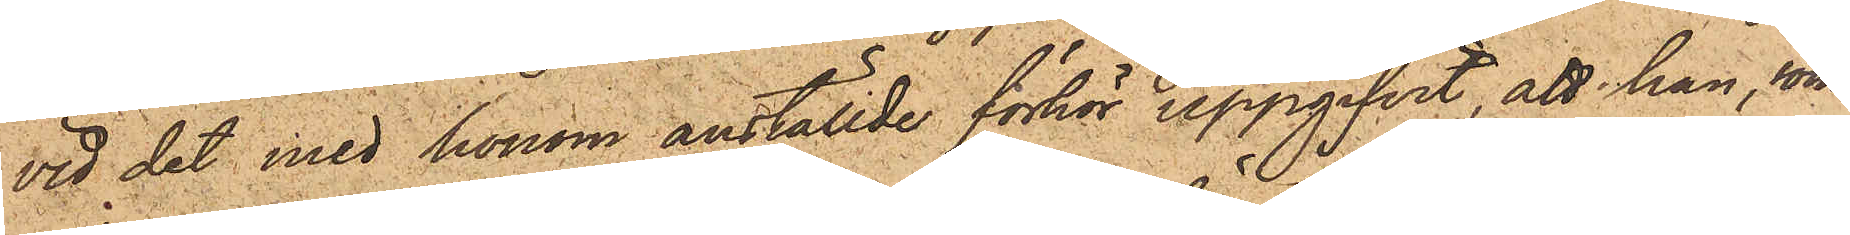vid det med honom anställde förhör uppgifvit, att han, som
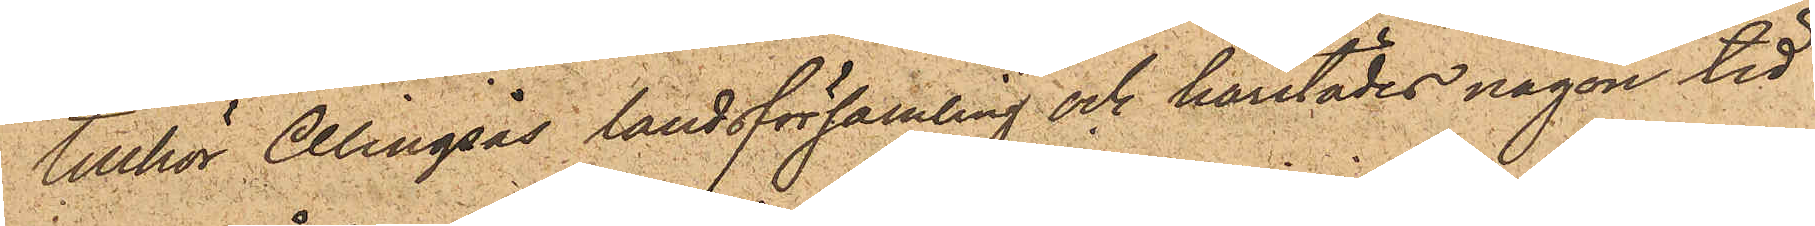tillhör Alingsås landsförsamling och härstädes någon tid
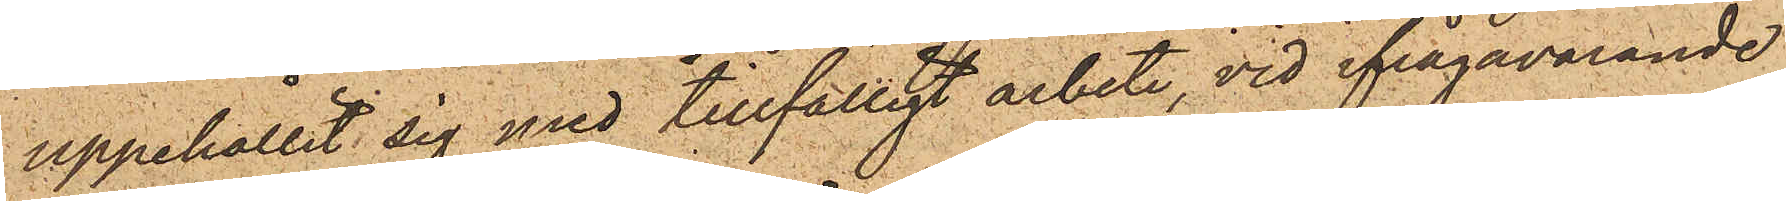uppehållit sig med tillfälligt arbete, vid ifrågavarande
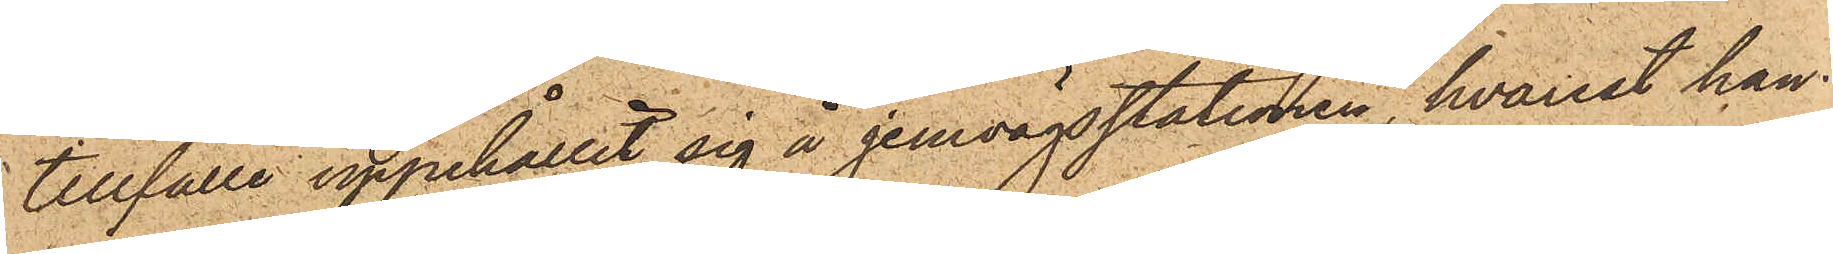tillfälle uppehållit sig å jernvägsstationen, hvarest han
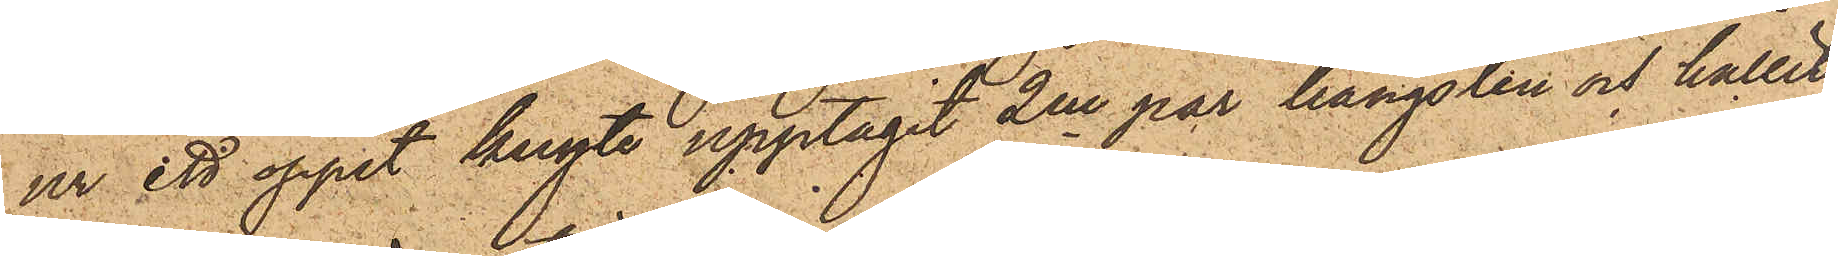ur ett öppet knyte upptagit 2ne par hängslen och hållit
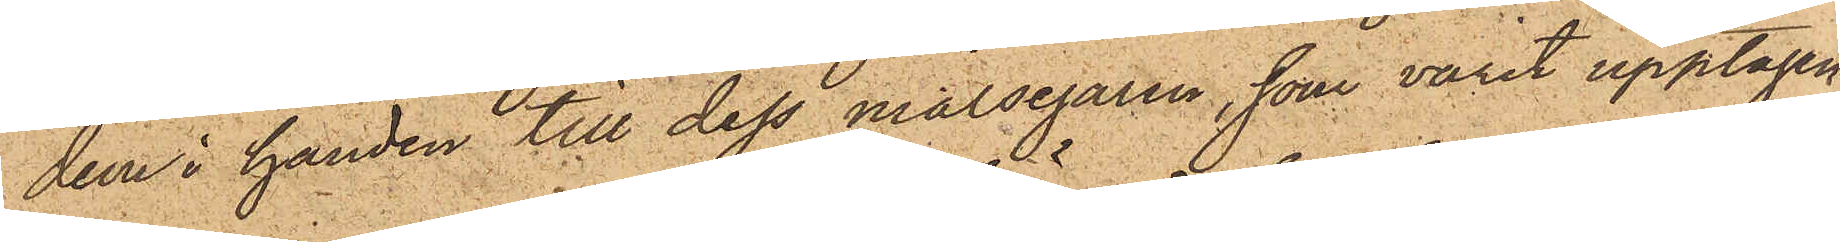dem i handen till dess målsegaren, som varit upptagen
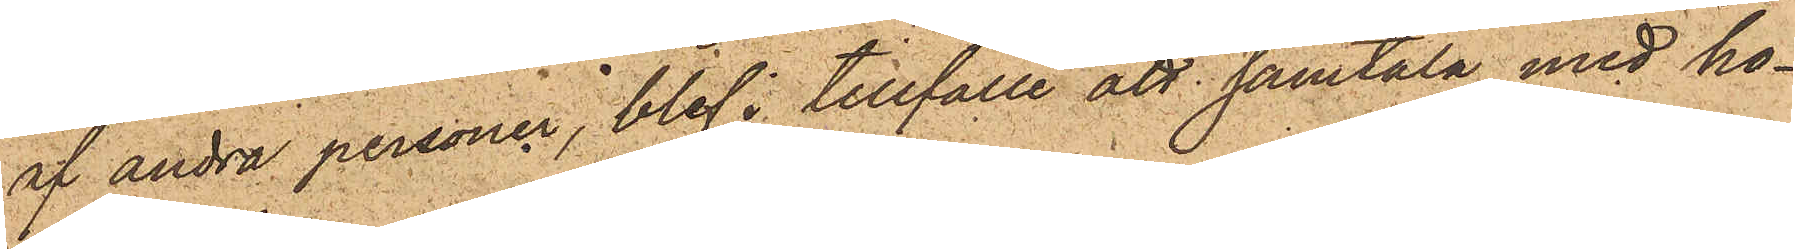af andra personer, blef i tillfälle att samtala med ho¬
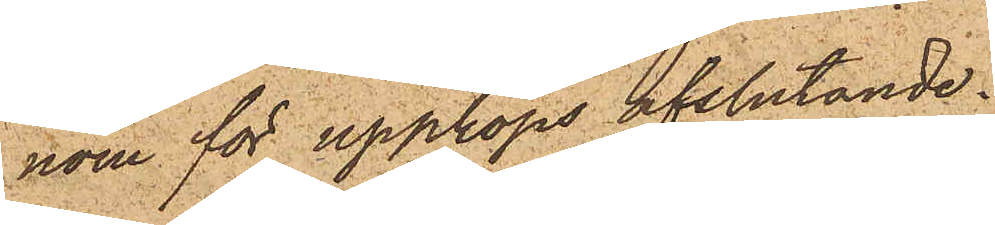nom för uppköps afslutande.
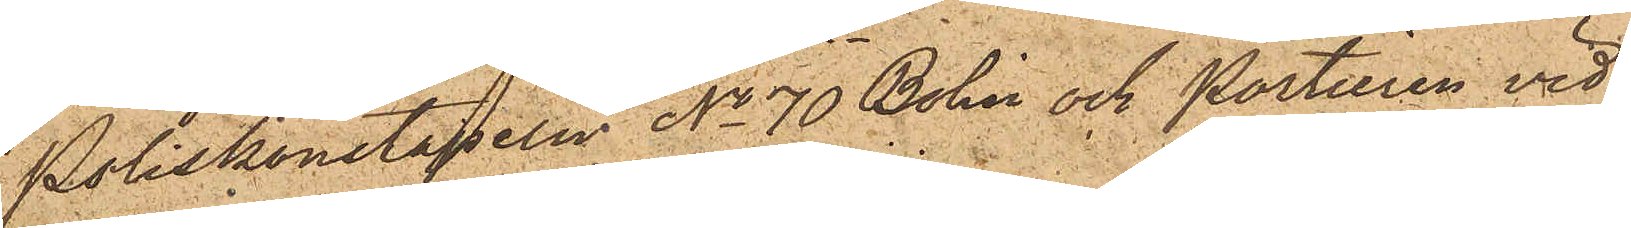Poliskonstapeln No 70 Bohlin och Portieren vid
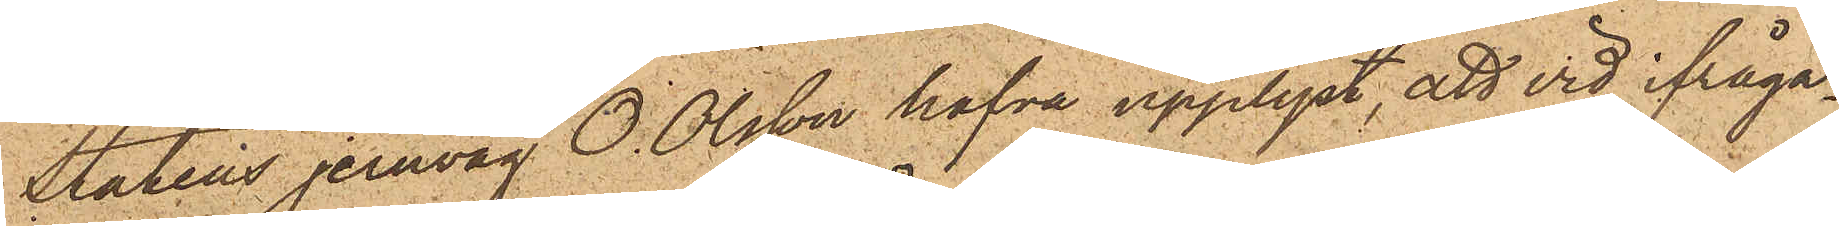Statens jernväg O. Olsson hafva upplyst, att vid ifråga¬
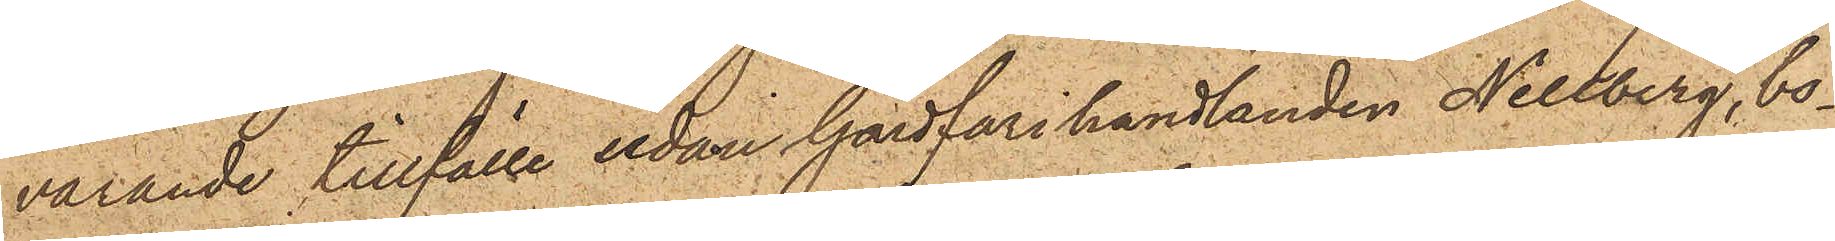varande tillfälle sedan Gårdfarihandlanden Nellberg, bo¬
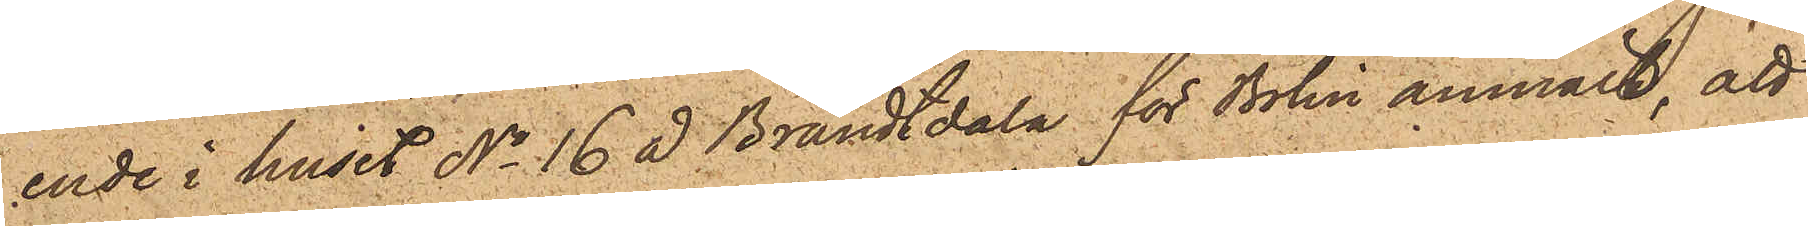ende i huset No 16 å Brandtdala för Bolin anmält, att
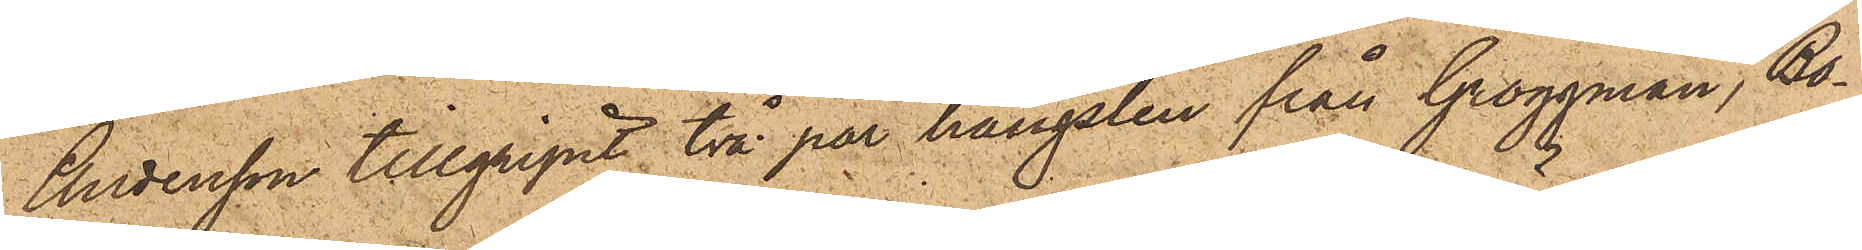Andersson tillgripit två par hängslen från Groggman, Bo¬
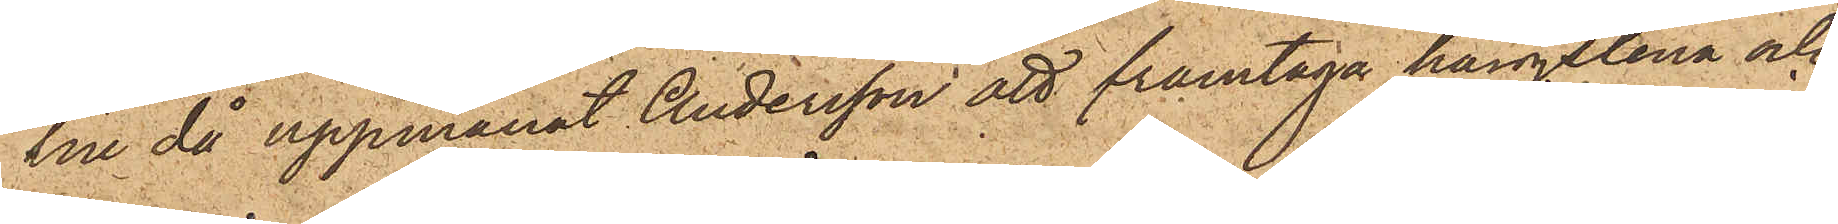lin då uppmanat Andersson att framtaga hängslena och
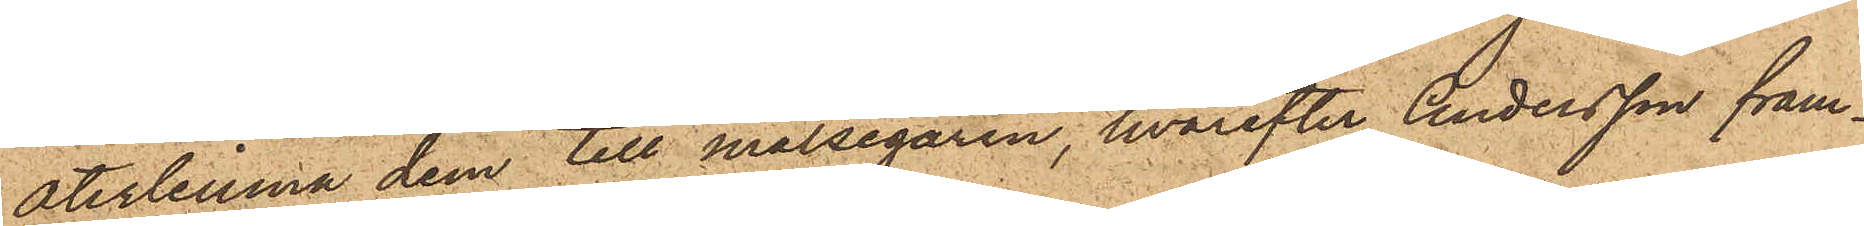återlemna dem till målsegaren, hvarefter Andersson fram¬
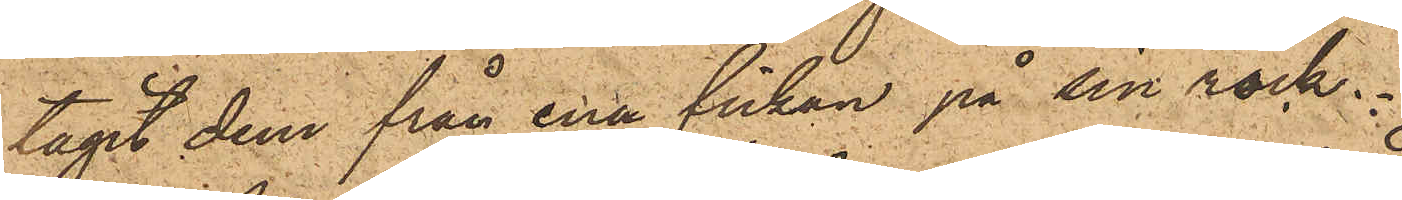tagit dem från ena fickan på sin rock.
